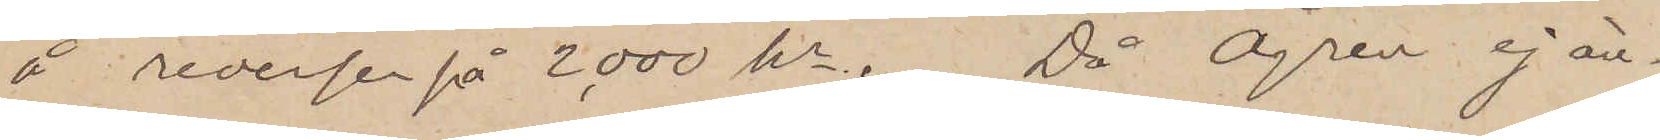å reversen å 2,000 kr. Då Ågren ej än¬
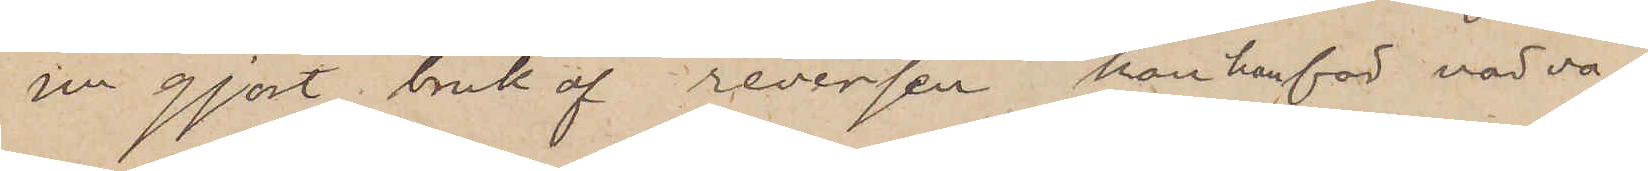un gjort bruk af reversen kan han för närva¬
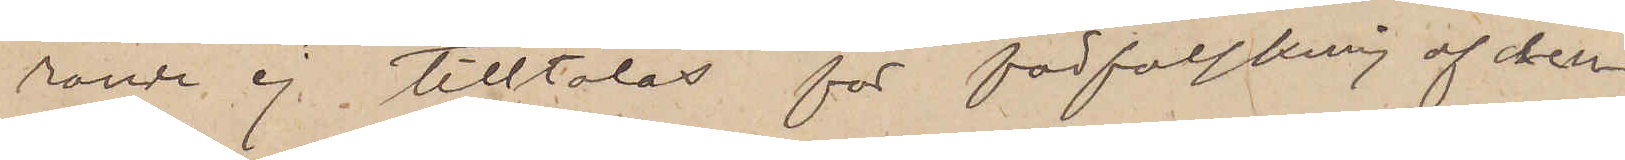rande ej tilltalas för förfalskning af den¬
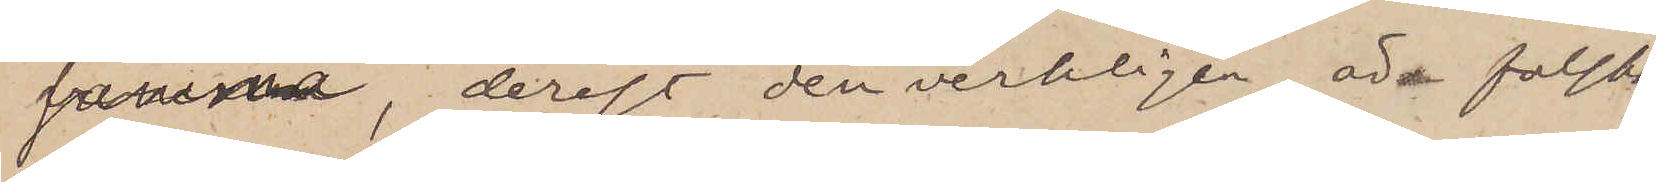samma, derest den verkligen är falsk,
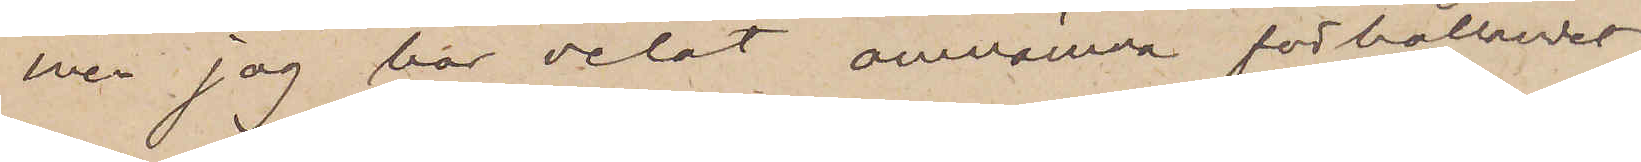men jag har velat omnämna förhållandet
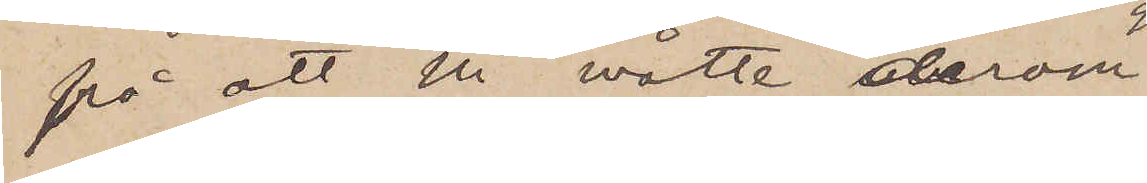så att Ni måtte derom
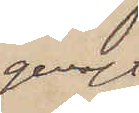genast
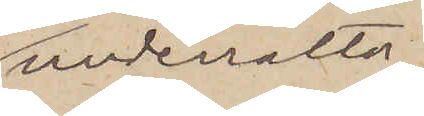underrätta
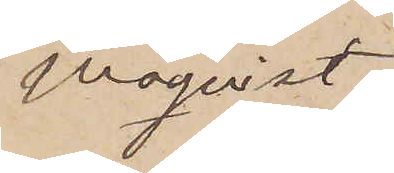Moqvist,
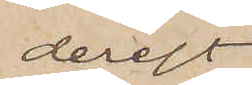derest
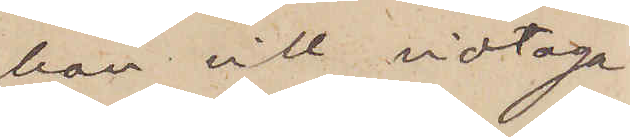han vill vidtaga
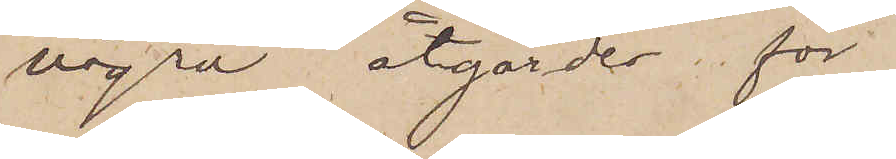några åtgärder för
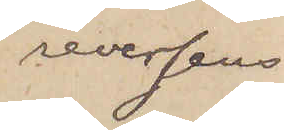reversens
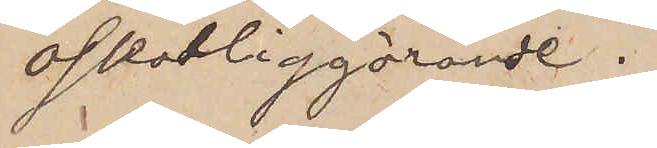oskadliggörande.
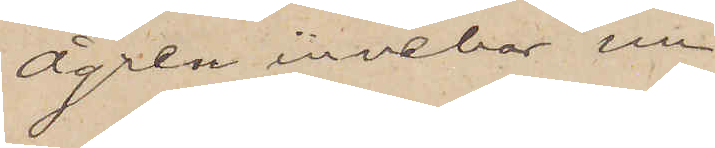Ågren innehar nu
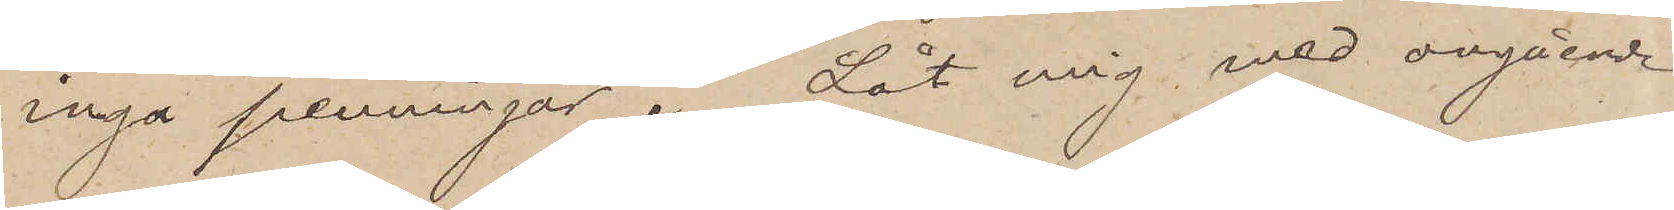inga penningar. Låt mig med avgående
